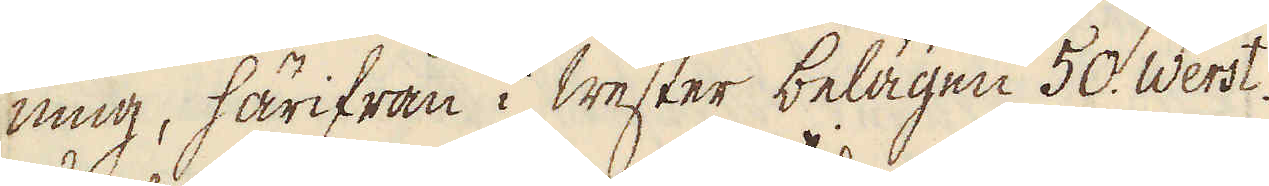ning, härifrån i Wester belägen 50. Werst.
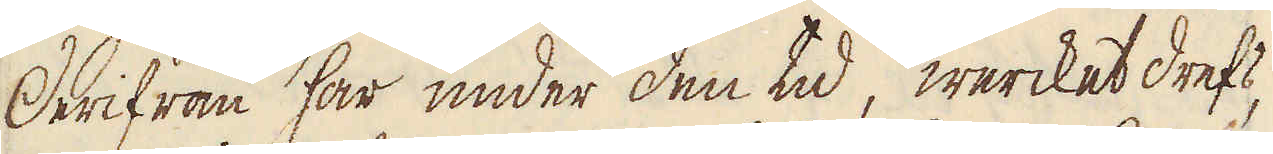Derifrån har under den tid, wercket drefs,
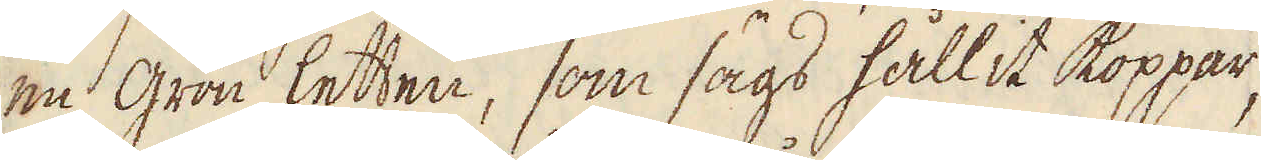en grön letten, som sägs hållit koppar,
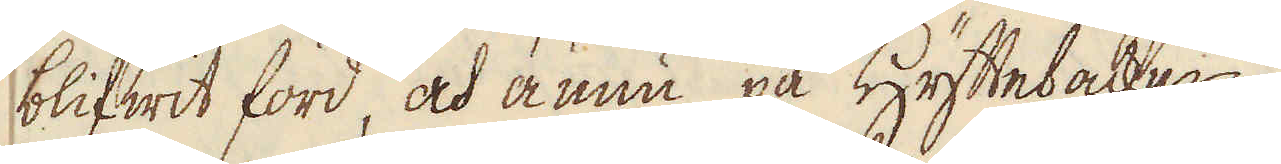blifwit förd, och ännu på Hyttebacken
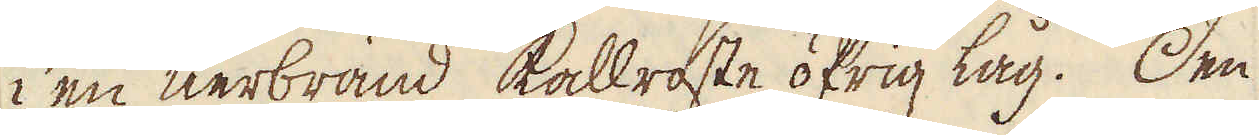i en nerbränd kallroste öfrig låg. Den
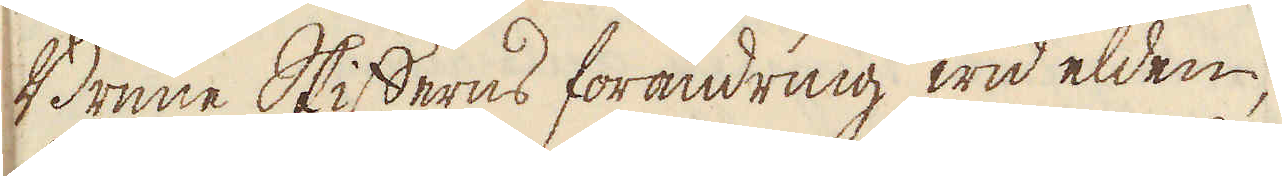Brune Skifferns förändring wid elden,
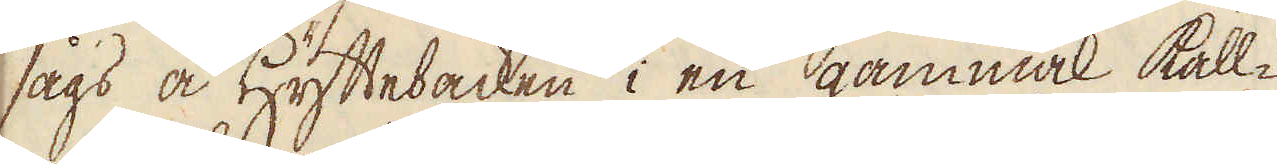sågs å Hyttebacken i en gammal kall-
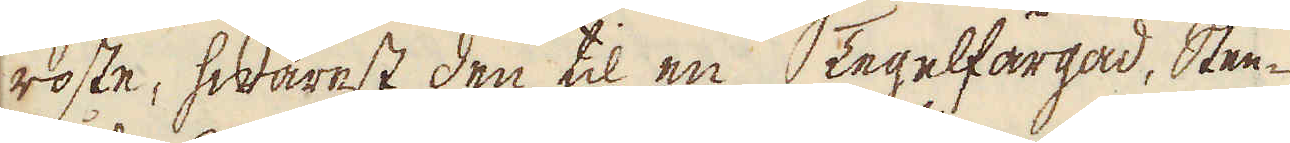roste, hwarest den til en Tegelfärgad, Sten-
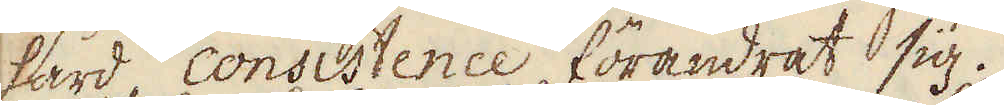hård consistence förändrat sig.
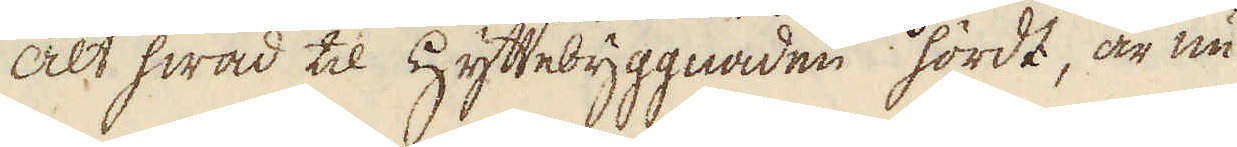Alt hwad til Hyttebyggnaden hördt, är nu
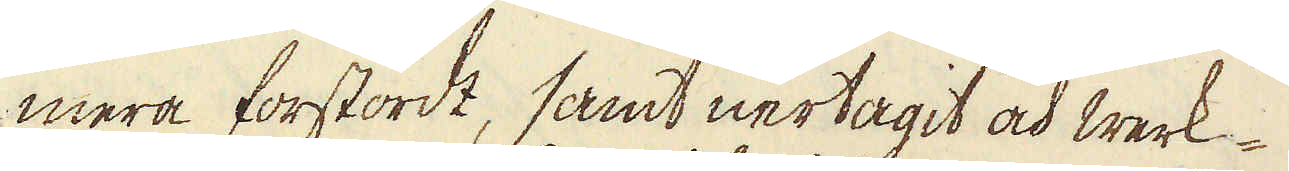mera förstördt, samt nertagit och werk-
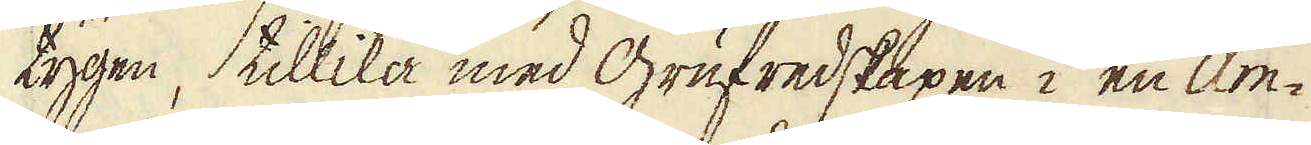tygen, tillika med Grufredskapen i en Am-
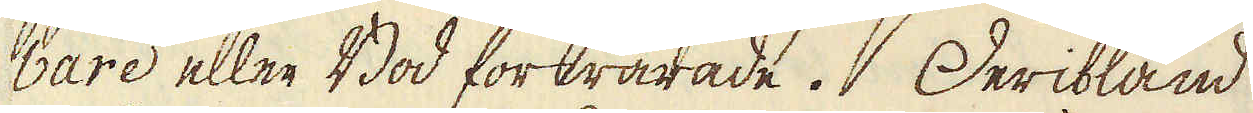bare eller Bod förwarade. Deribland
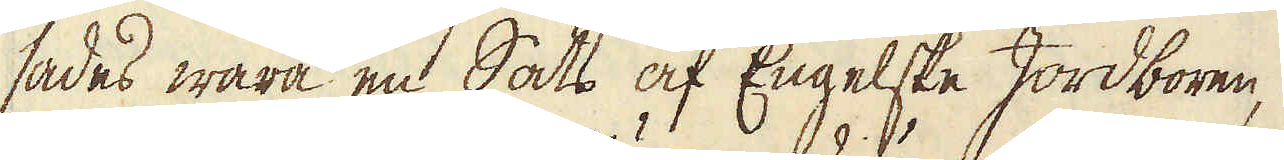sades wara en Sats af Engelske Jordboren,
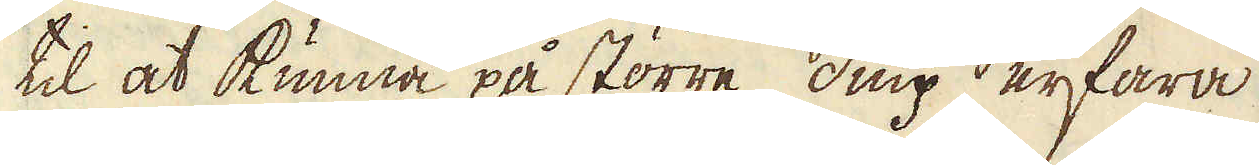til at kunna på större diup erfara
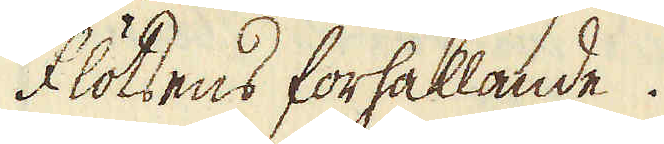flötsens förhållande.
